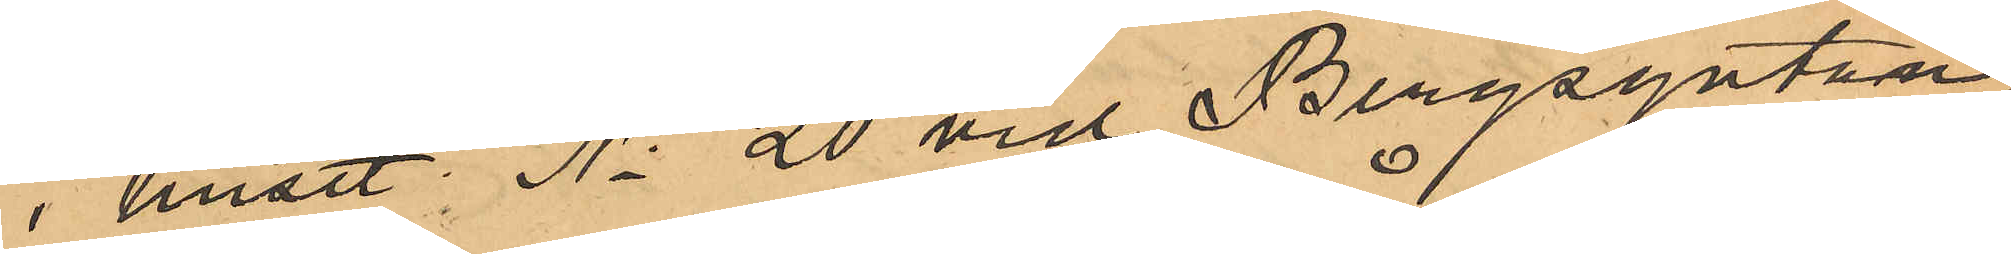i huset No 20 vid Bergsgatan,
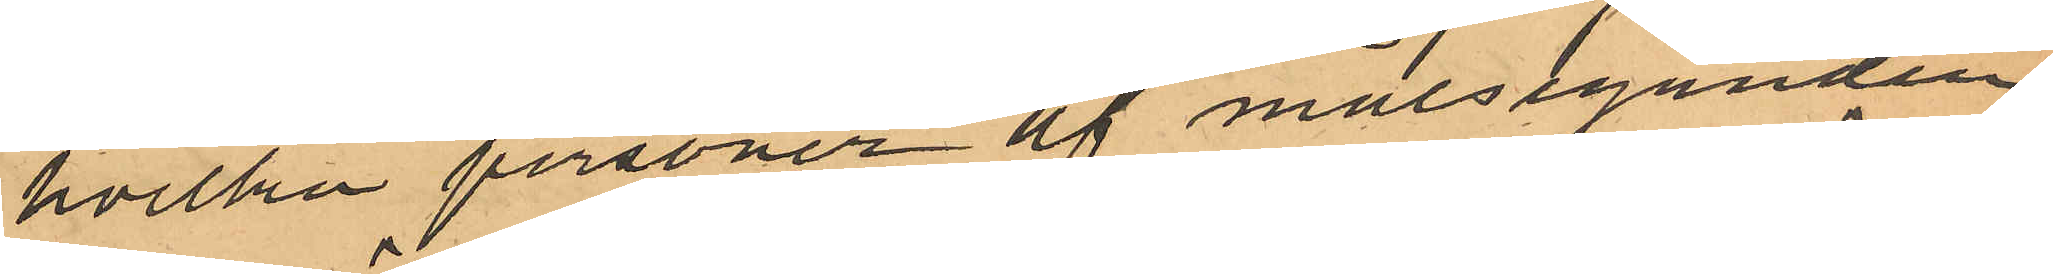hvilka personer af målseganden
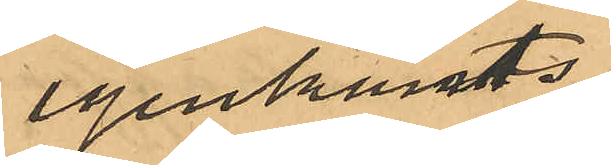igenkänts
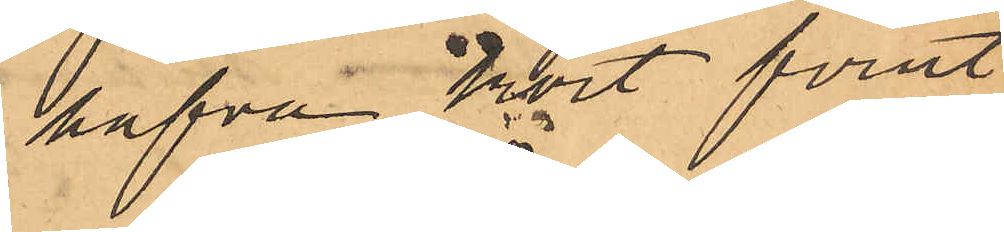hafva kort förut
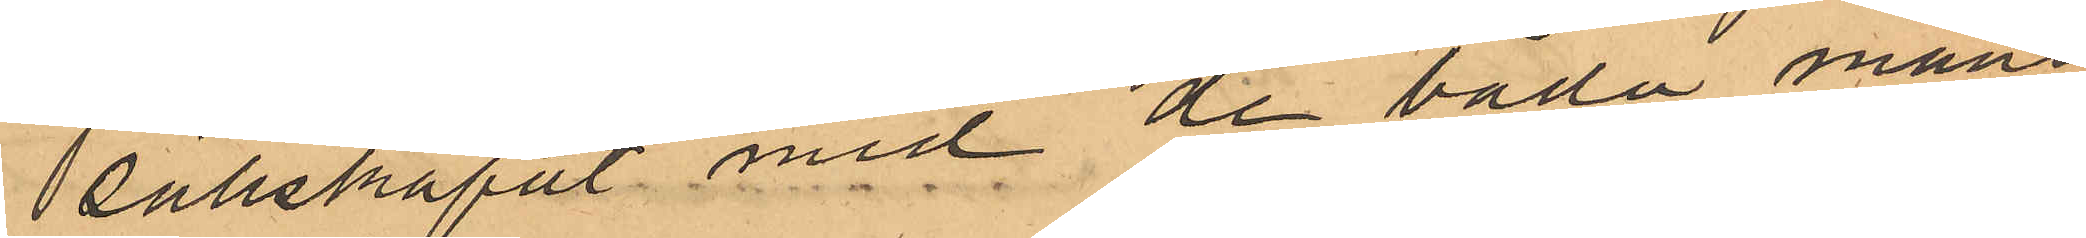sällskapat med de båda mans¬
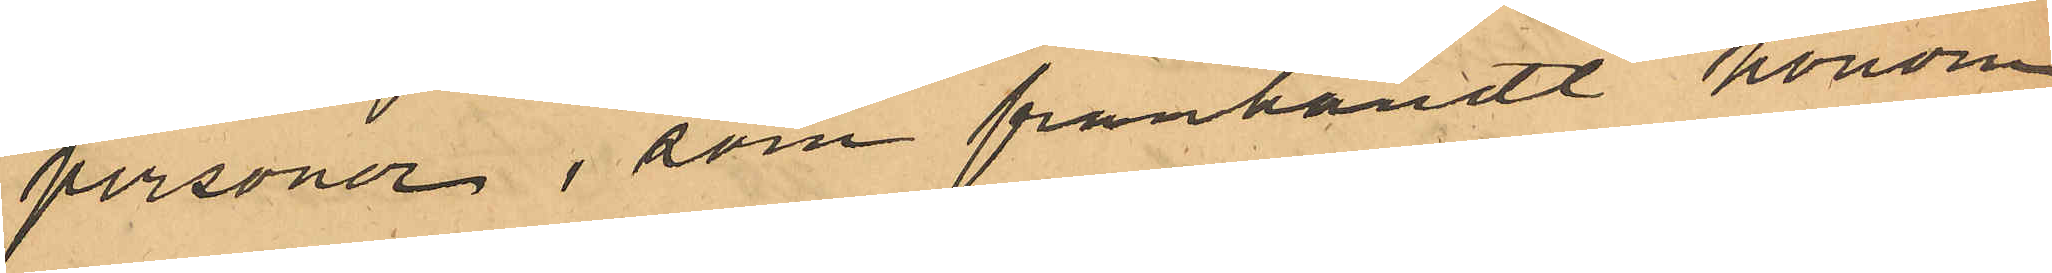personer, som frånhändt honom
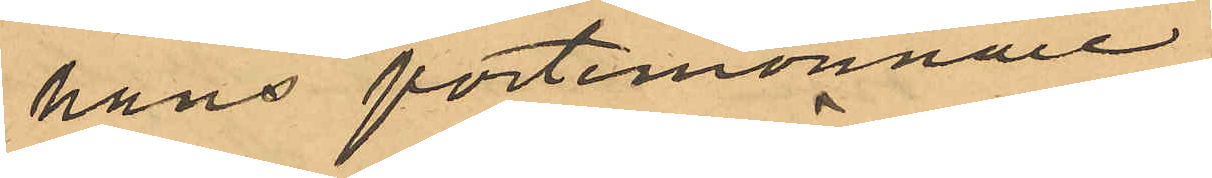hans portmonnaie.
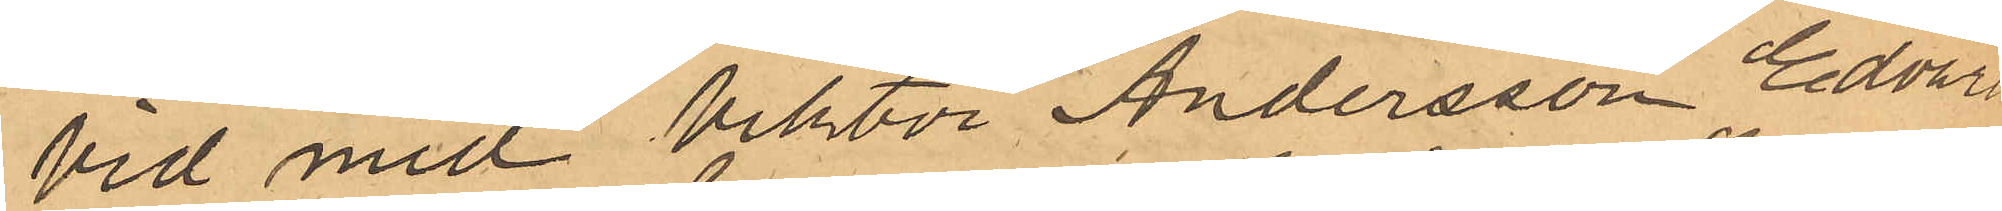Vid med Viktor Andersson, Edvard
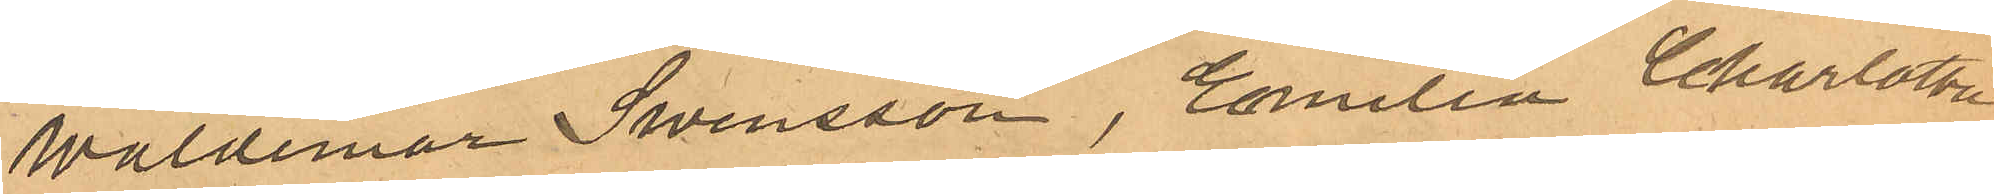Waldemar Swensson, Emilia Charlotta
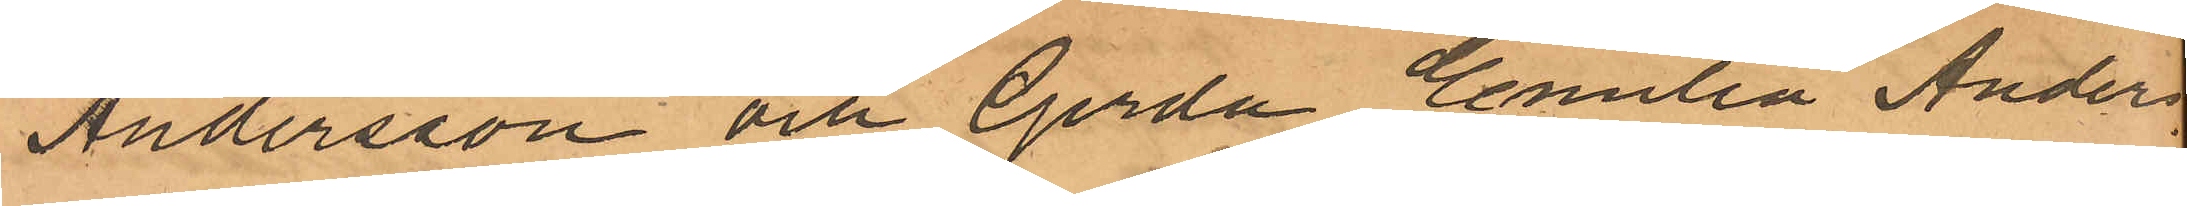Andersson och Gerda Emilia Anders¬
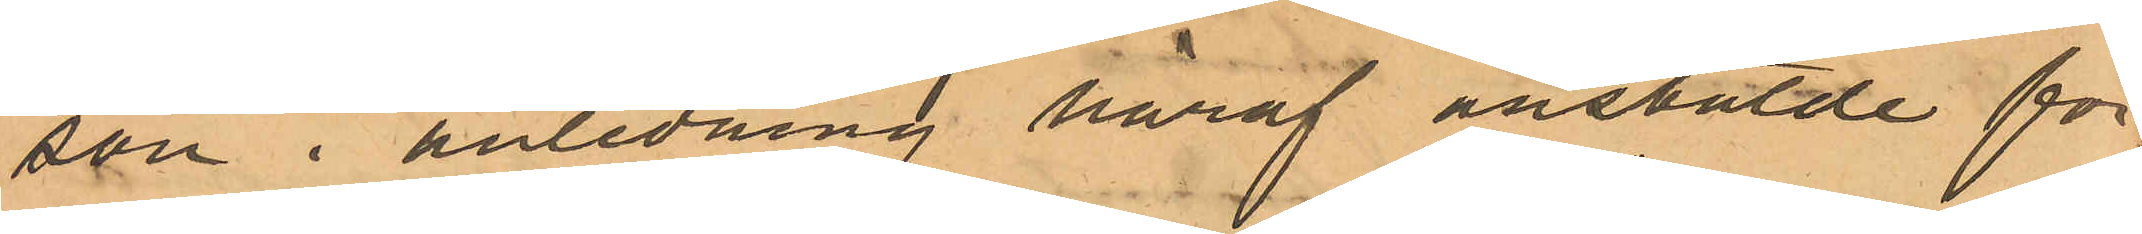son i anledning häraf anstälde för¬
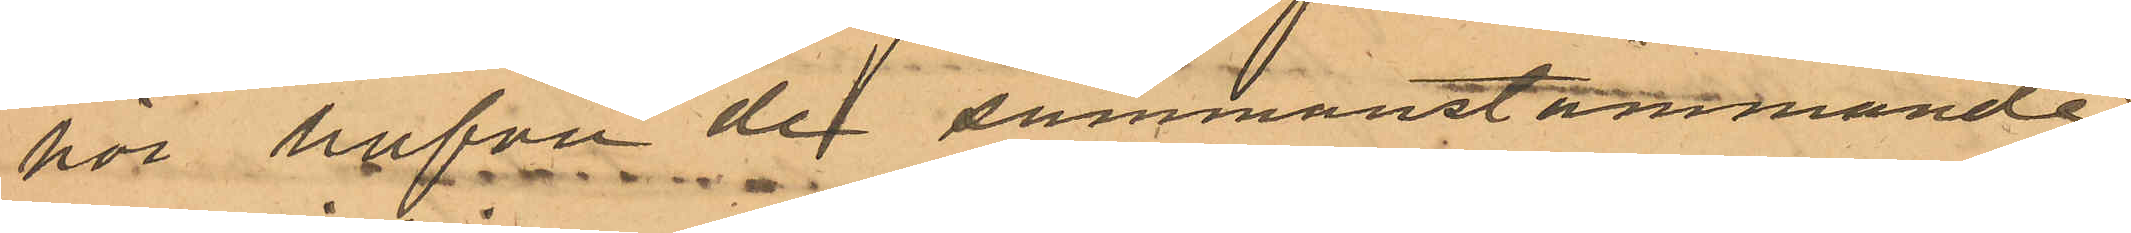hör hafva de sammanstämmande
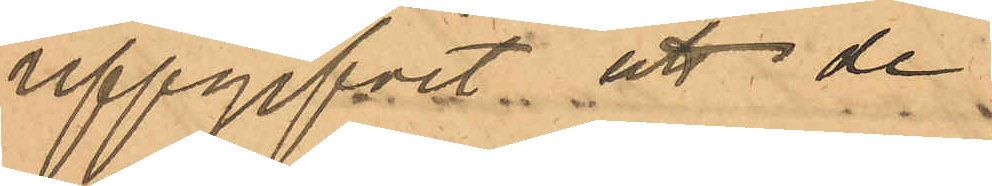uppgifvit: att de
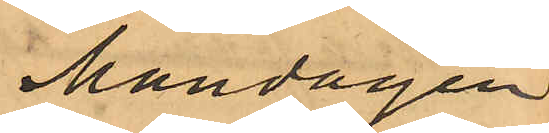Måndagen
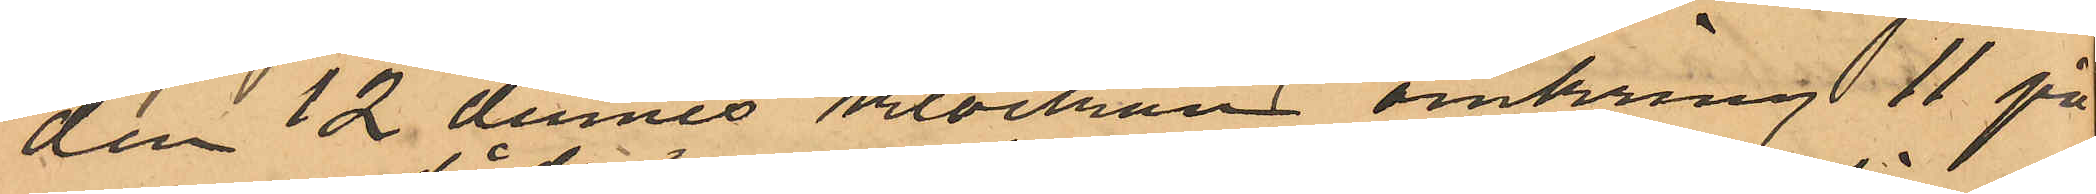den 12 dennes klockan omkring 11 på
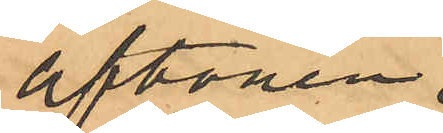aftonen
